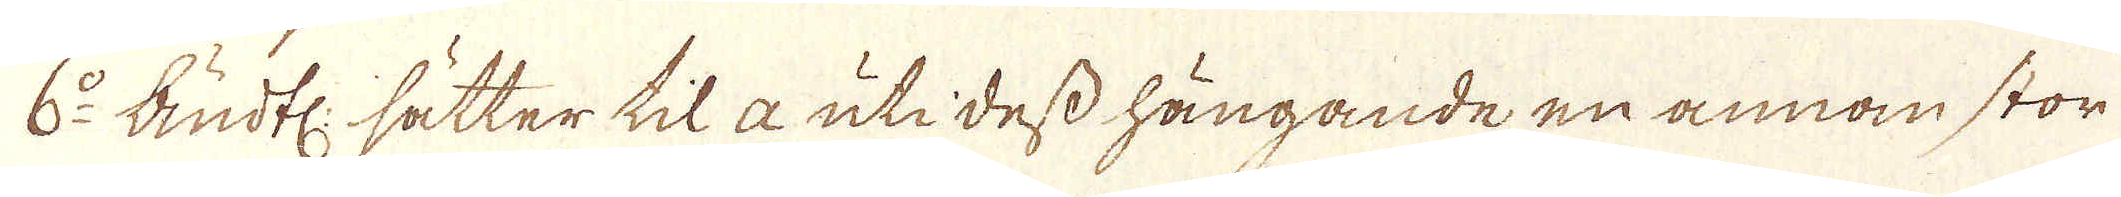6:o Sudtl: sätter tila uti dess hängande en annan stor
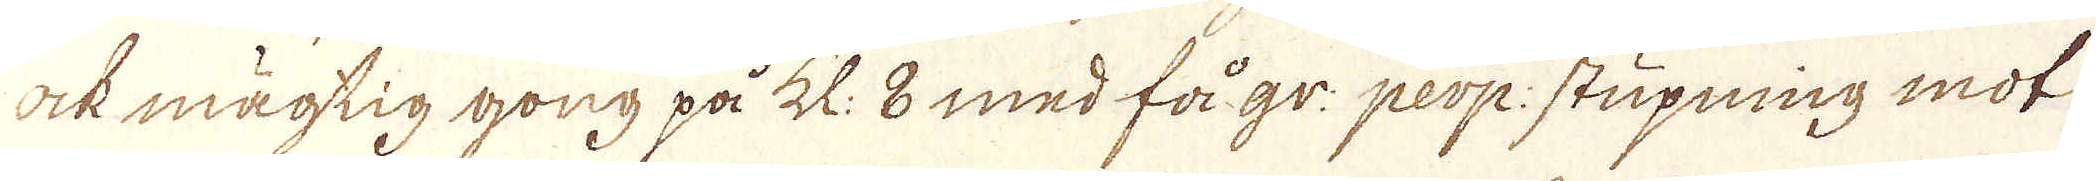ock mägtig gong på Kl. 8 med få gr: perp: stupning mot
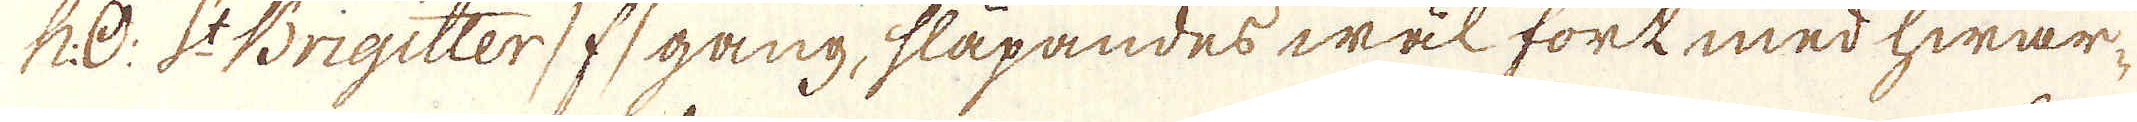N:O: S:t Brigitter /f/ gång, släpandes wäl fork med hwar-
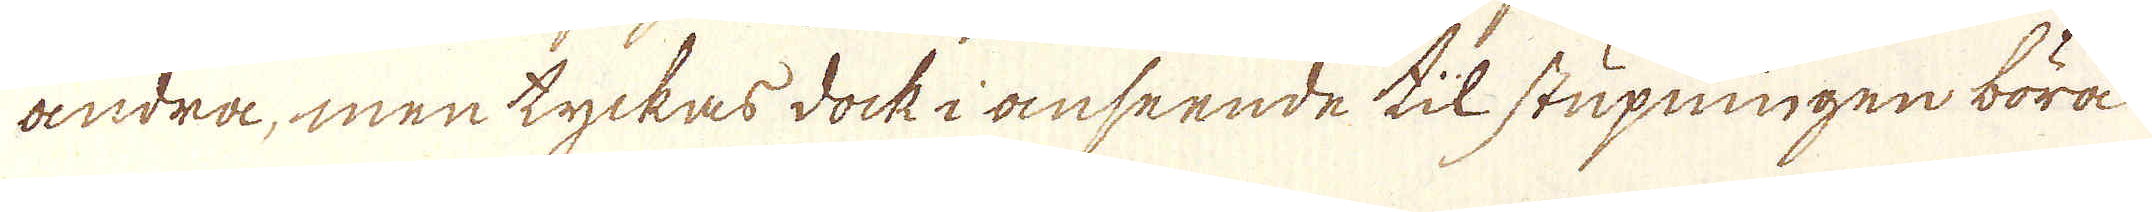andra, men tyckas dock i anseende til stupningen böra
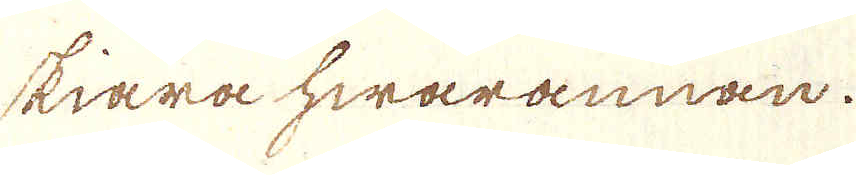skiära hwarannan.
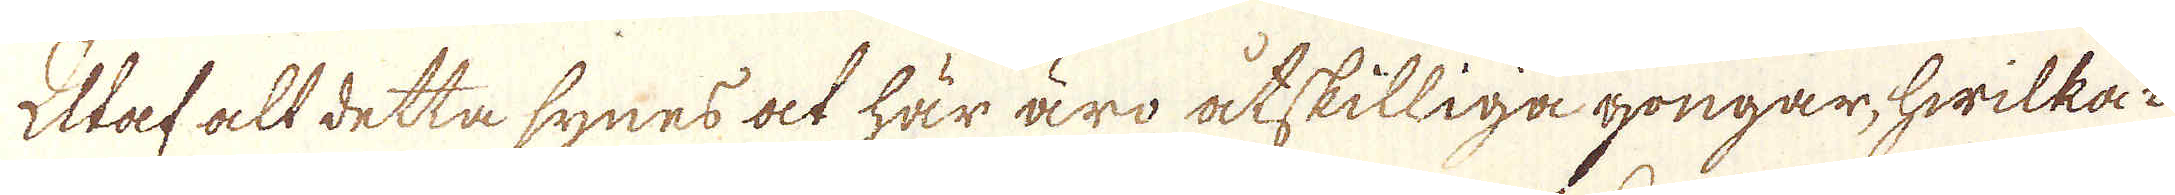Utaf alt detta synes at här äro åtskilliga gongar, hwilka i
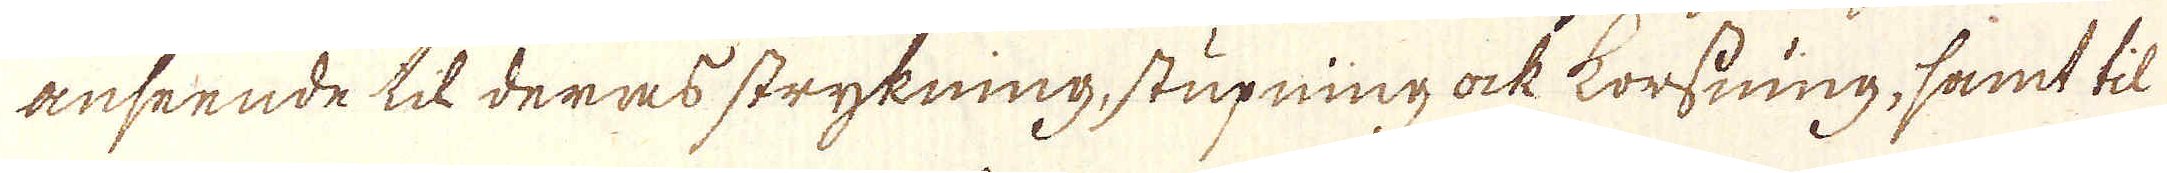anseende till deras strykning, stupning ock korssning, samt til
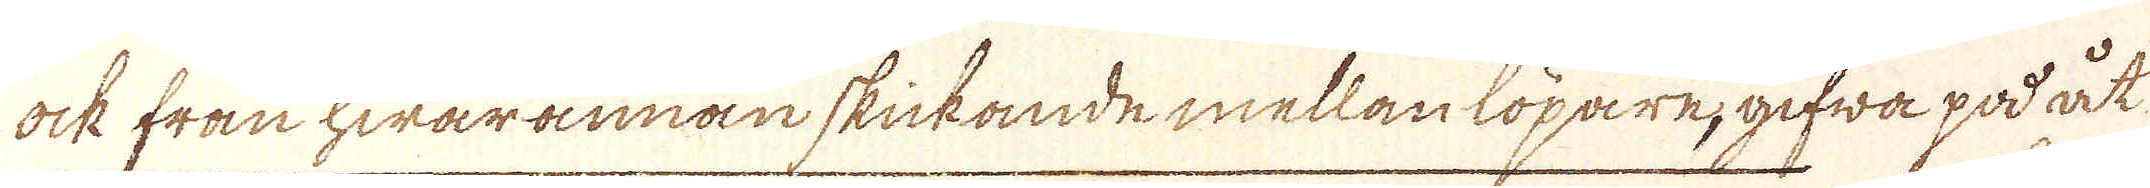ock från hwarannan skickande mellan löpare, gifwa på åt
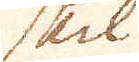skil
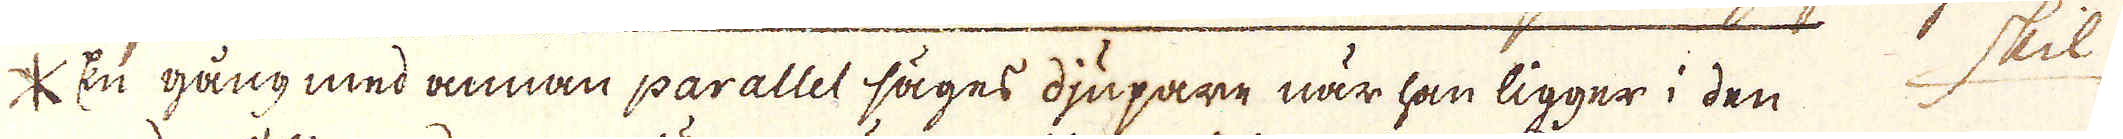* En gång med annan parallet säges djupare när han ligger i den
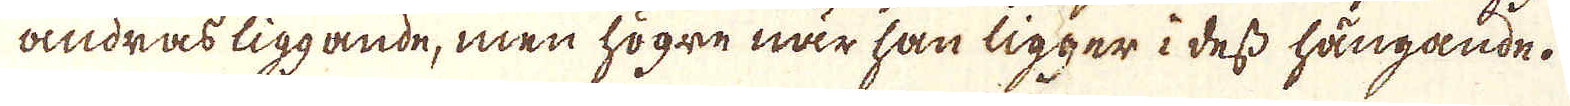andras liggande, men högre när han ligger i dess hängande.
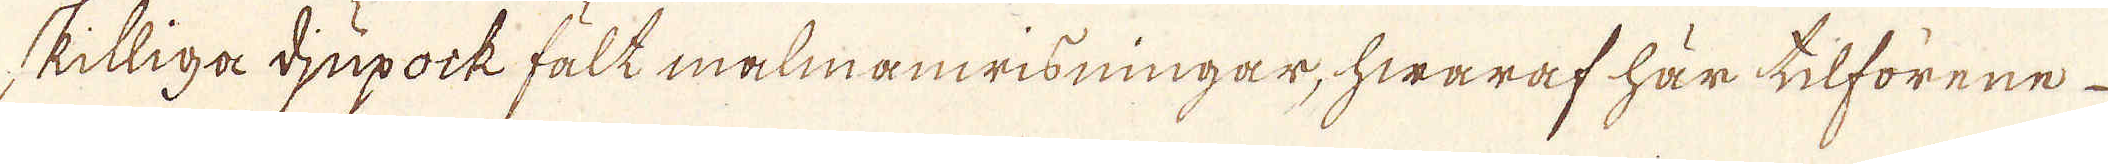skilliga djupock fält malmanwisningar, hwaraf här tilförene
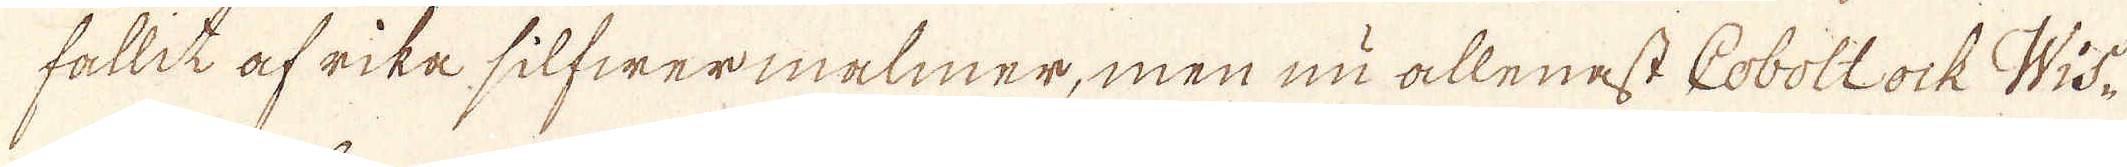fallit af rika silfwermalmer, men nu allenast Cobolt ock Wis-
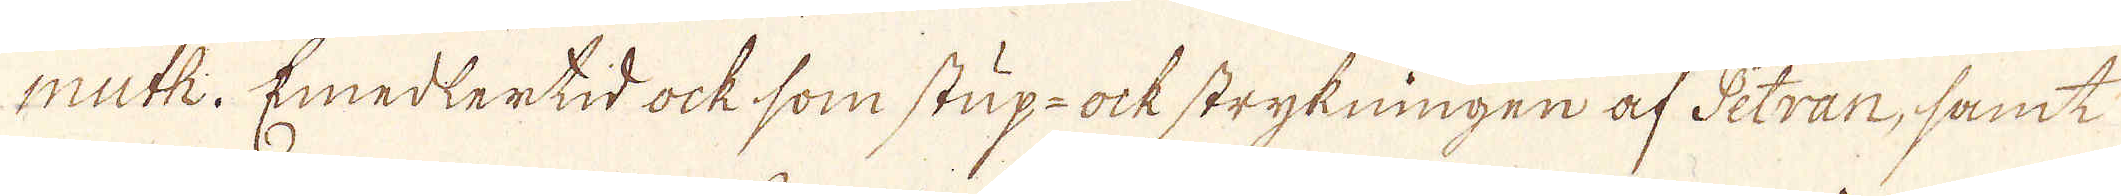muth. Emedlertid ock som stup- ock strykningen af Petran, samt
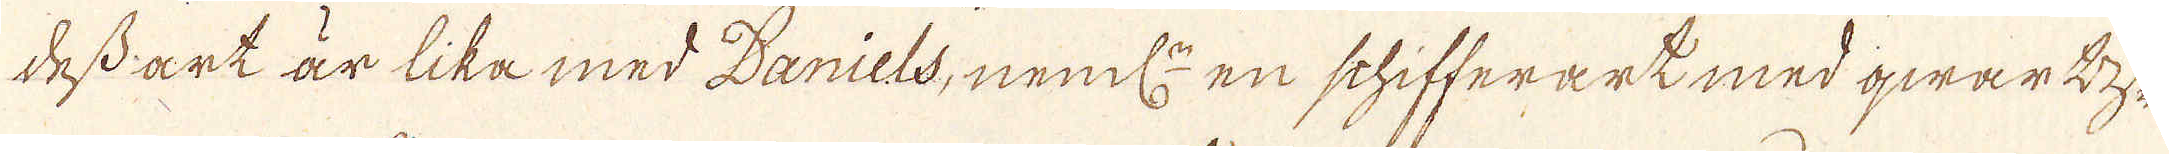dess art är lika med Daniels, neml:n en schifferart med qwart-
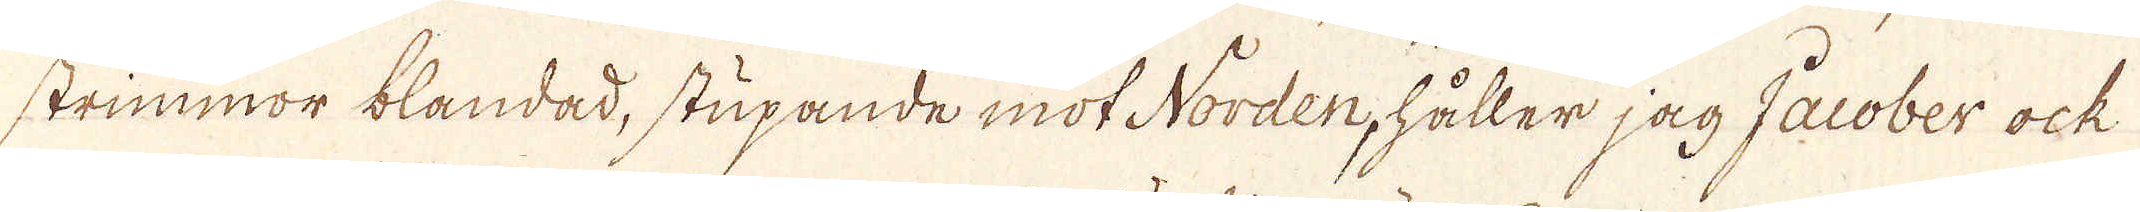strimmor blandad, stupande mot Norden, håller jag Jacober ock
